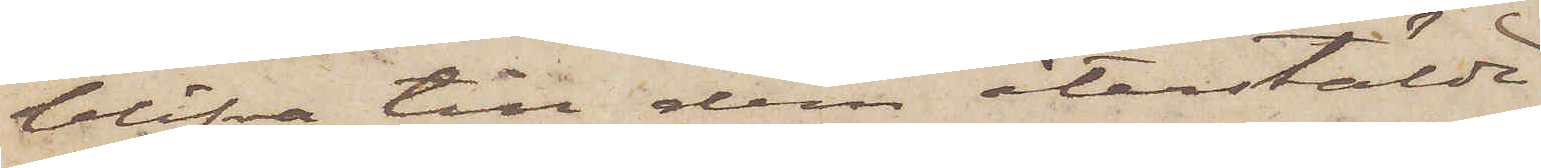blifva till dem återstälde,
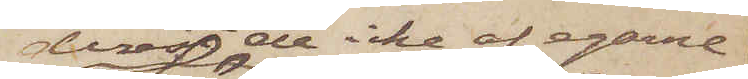derest de icke af egarne
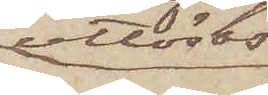utlösas.
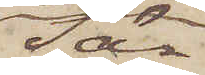Sär¬
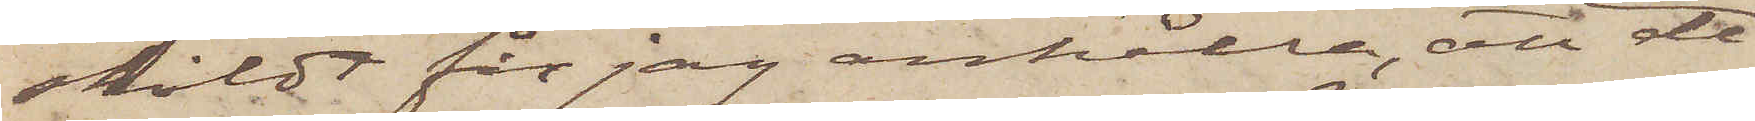skildt får jag anhålla, att de
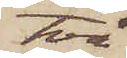två
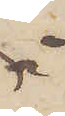å
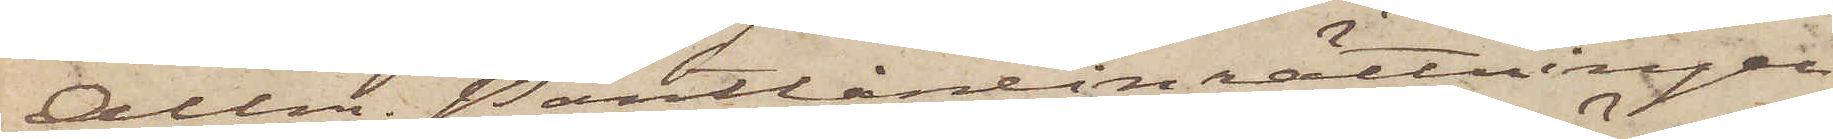Allm. Pantlåneinrättningen
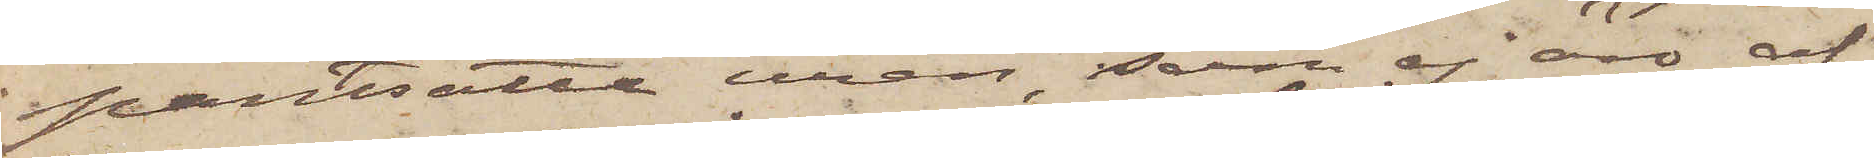pantsatte uren, som ej äro af
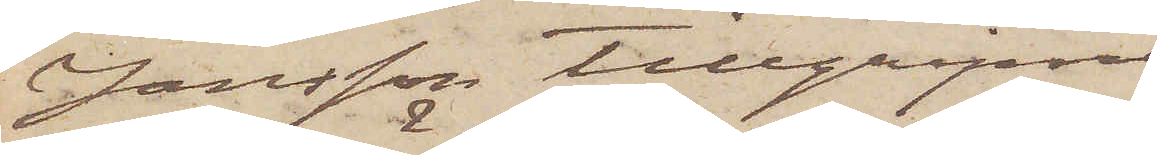Jansson tillgripne,
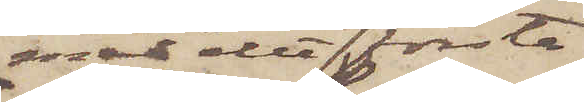med det första
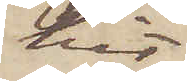hit
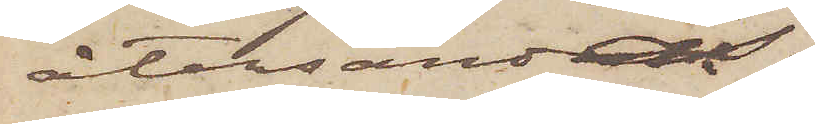återsändas.
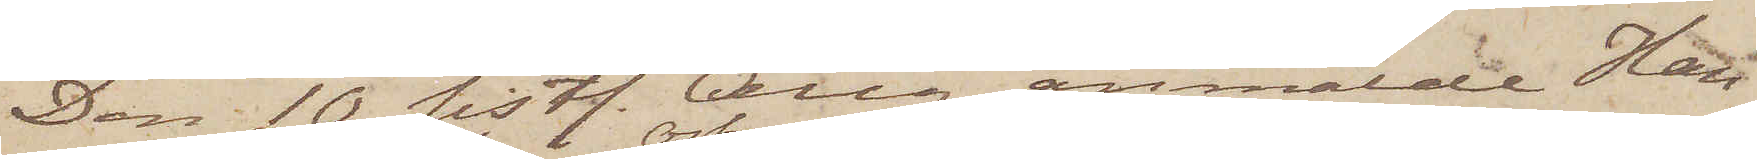Den 10 sistl. Aug. anmälde Han¬
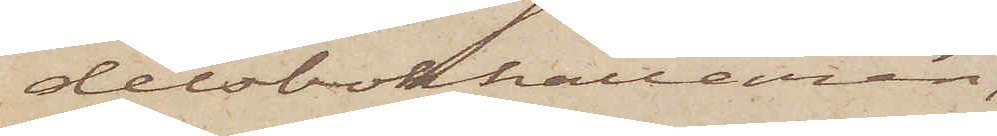delsbokhållaren,
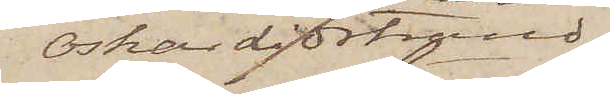Oskar Lidstrand
